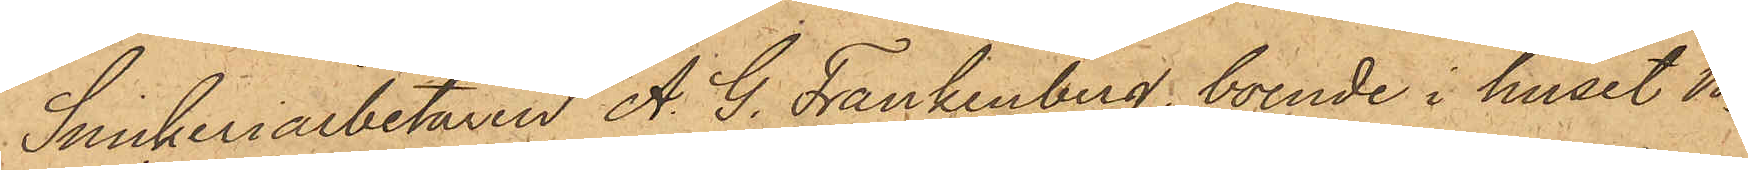Snickeriarbetaren A. G. Frankenberg, boende i huset No
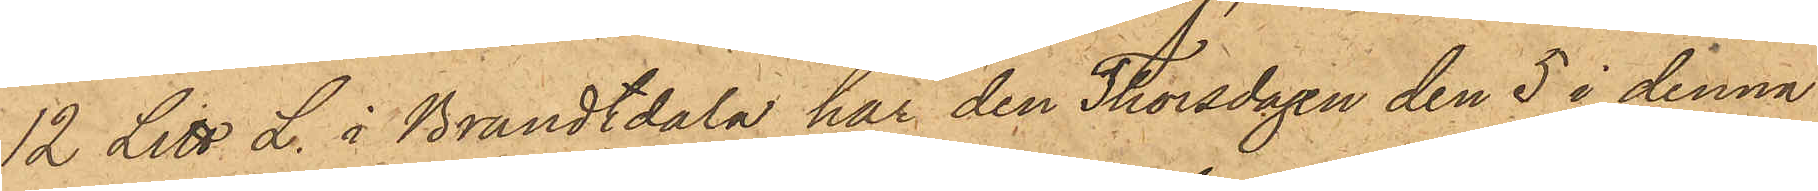12 Litt L. i Brandtdala har den Thorsdagen den 5 i denna
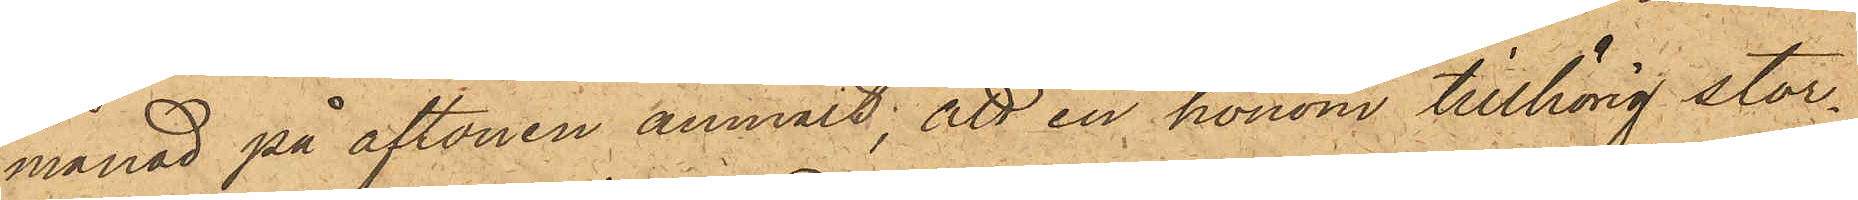månad på aftonen anmält; att en honom tillhörig stor¬
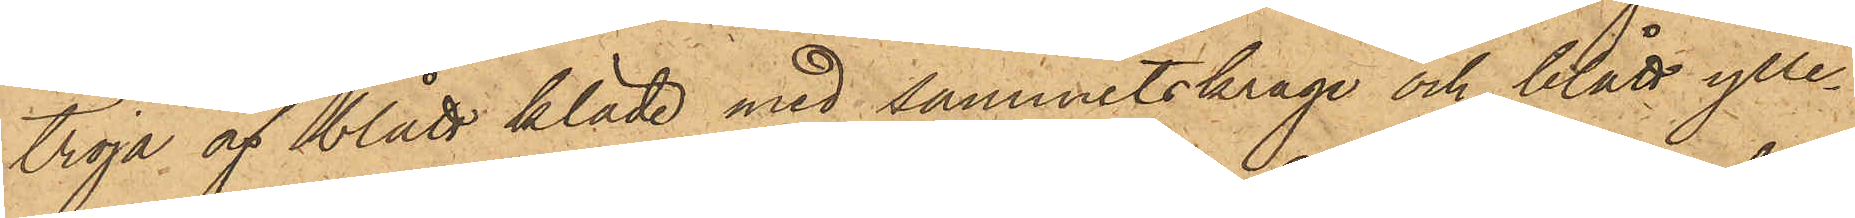tröja av blått kläde med sammetskrage och blått ylle¬
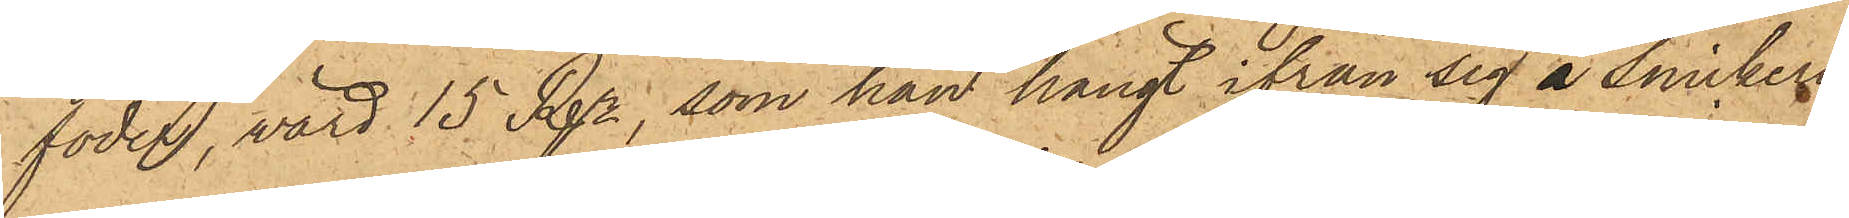foder, värd 15 Rdr, som han hängt ifrån sig i Snickeri¬
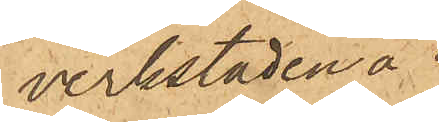verkstaden å
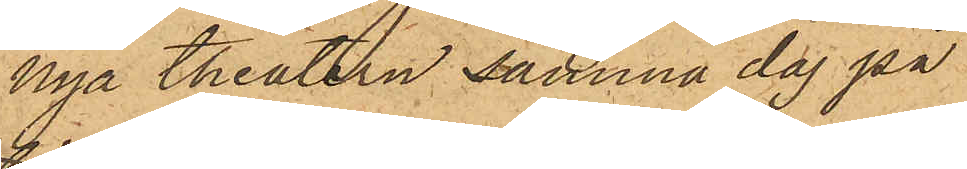nya theatern samma dag på
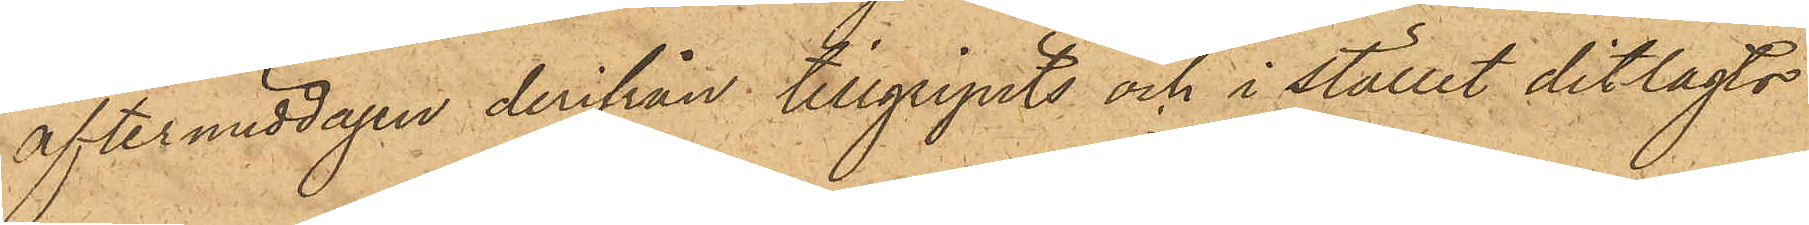eftermiddagen derifrån tillgripits och i stället ditlagts
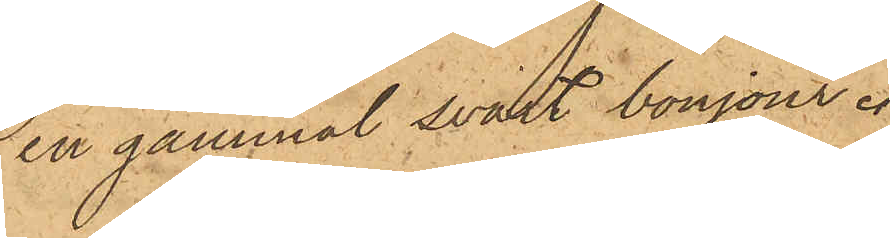en gammal svart bonjour.
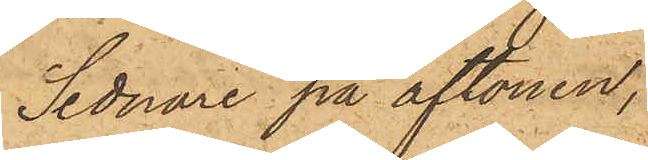Sednare på aftonen,
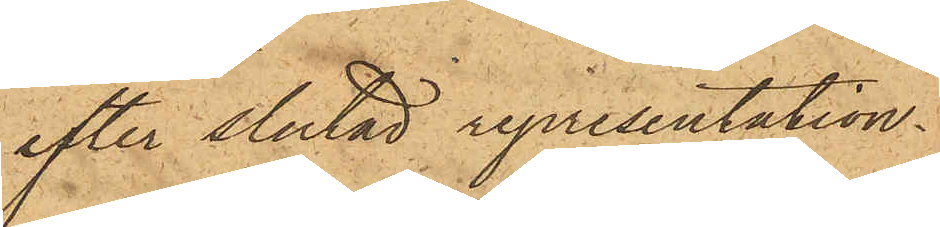efter slutad representation
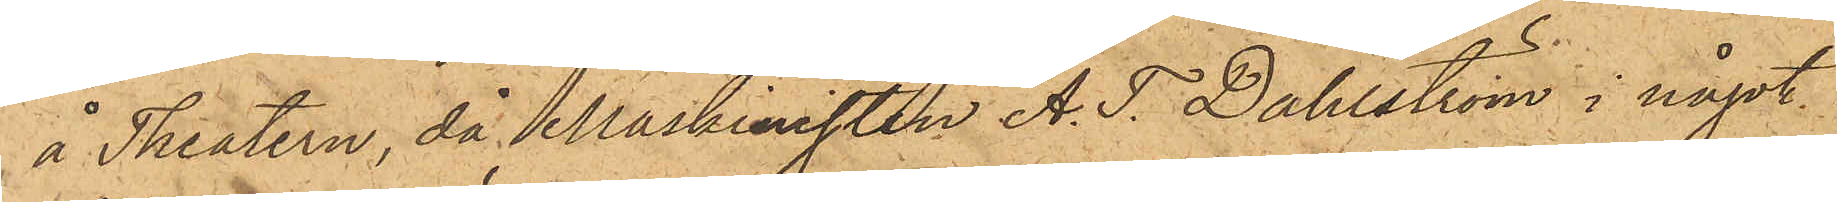å Theatern, då Maskinisten A. T. Dahlström i något
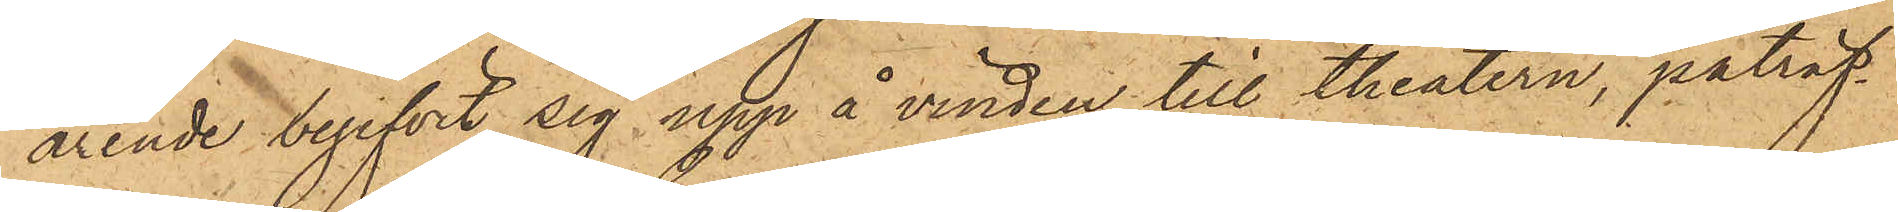ärende begifvit sig upp å vinden till theatern, påträf¬
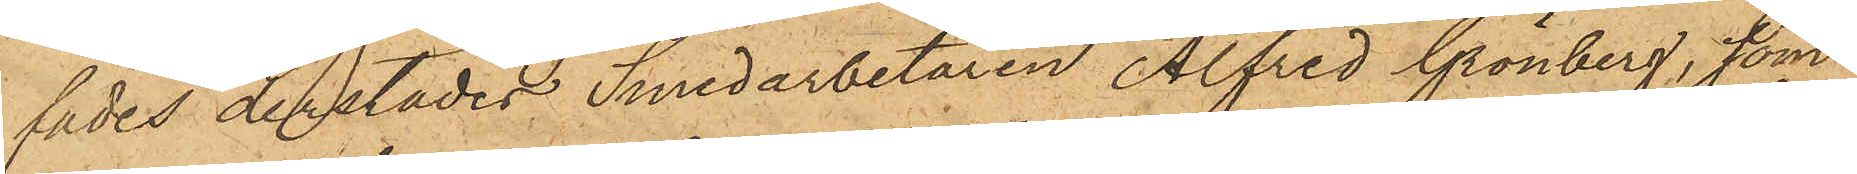fades derstädes Smedarbetaren Alfred Grönberg, som
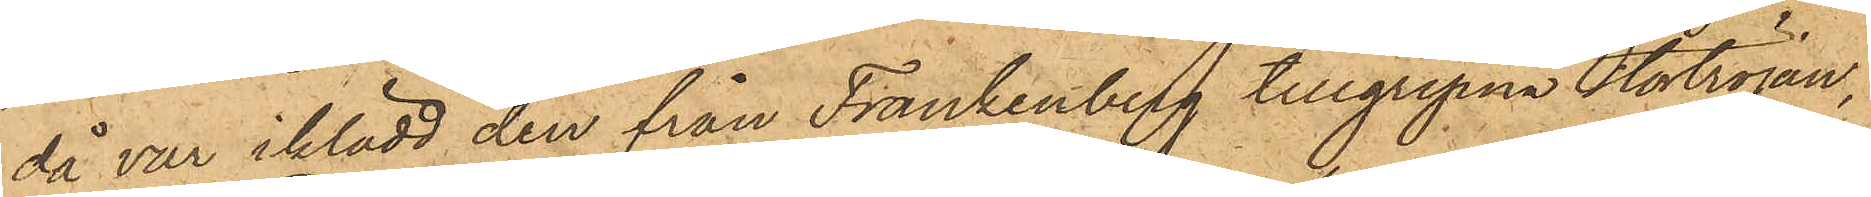då var iklädd den från Frankenberg tillgripna stortröjan,
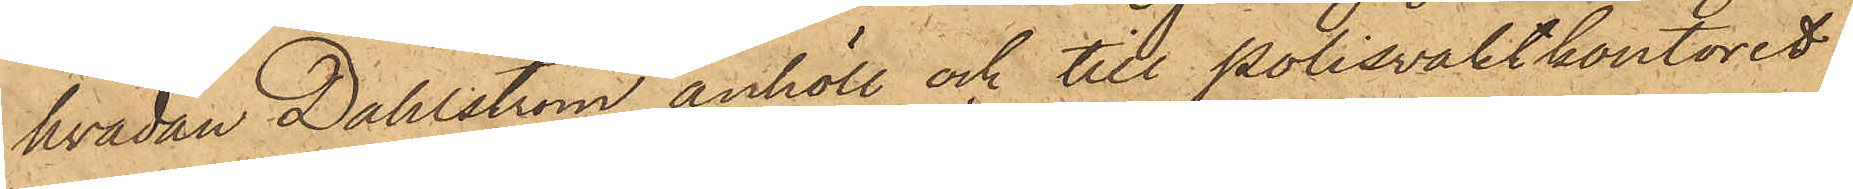hvadan Dahlström anhöll och till polisvaktkontoret
